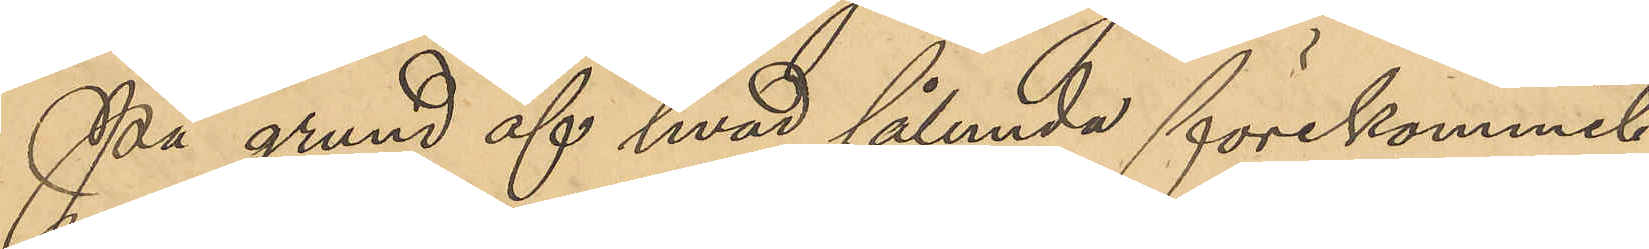På grund af hvad sålunda förekommit,
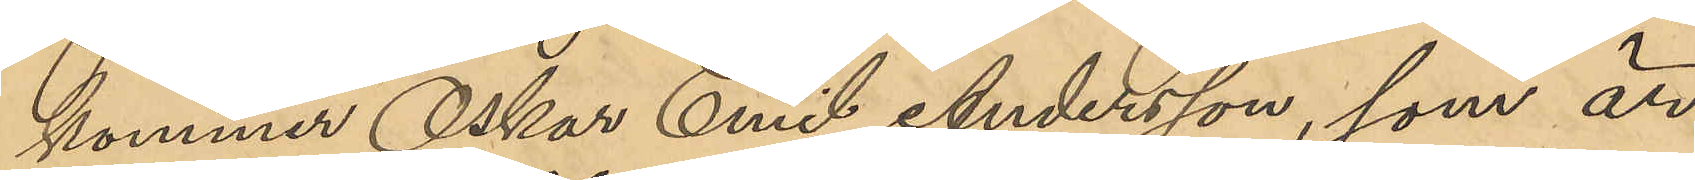kommer Oskar Emil Andersson, som är
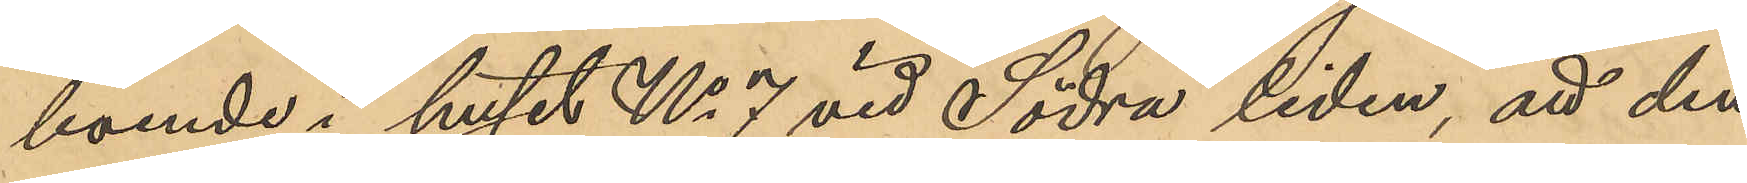boende i huset No 7 vid Södra liden, att den¬
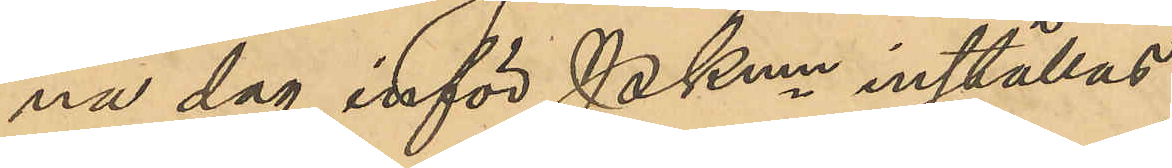na dag inför PKmn inställas.
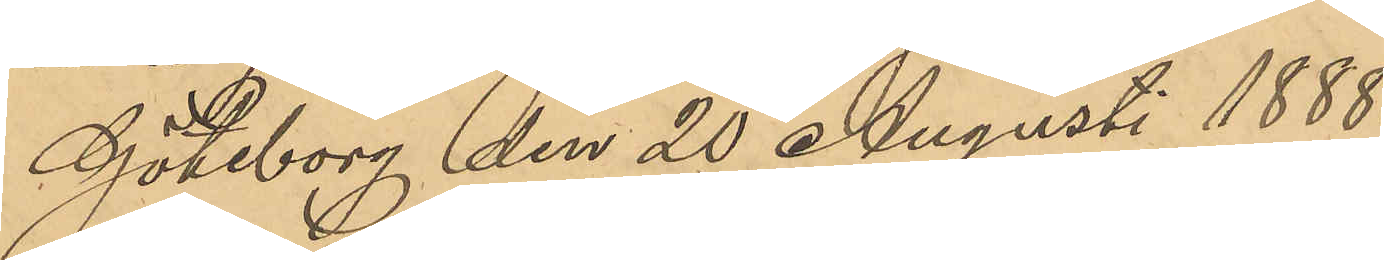Göteborg den 20 Augusti 1888.
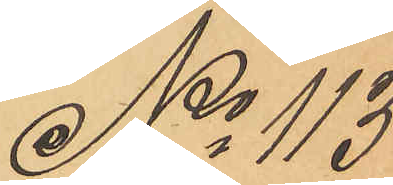No 113
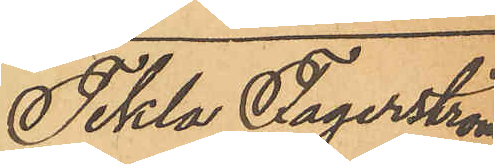Tekla Fagerström
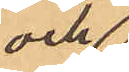och
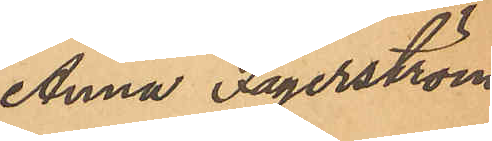Anna Fagerström
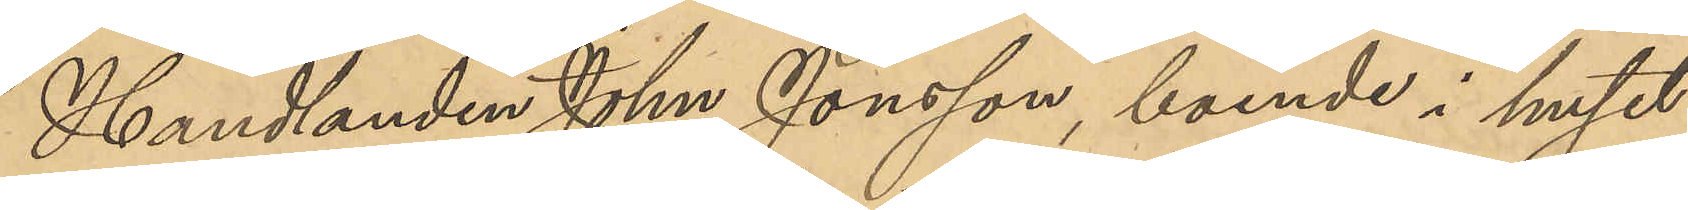Handlanden John Jonsson, boende i huset
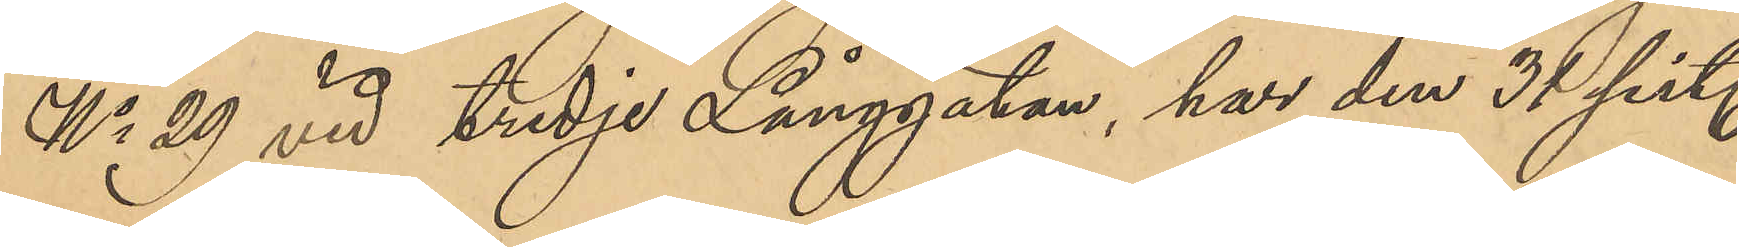No 29 vid tredje Långgatan, har den 31 sist.
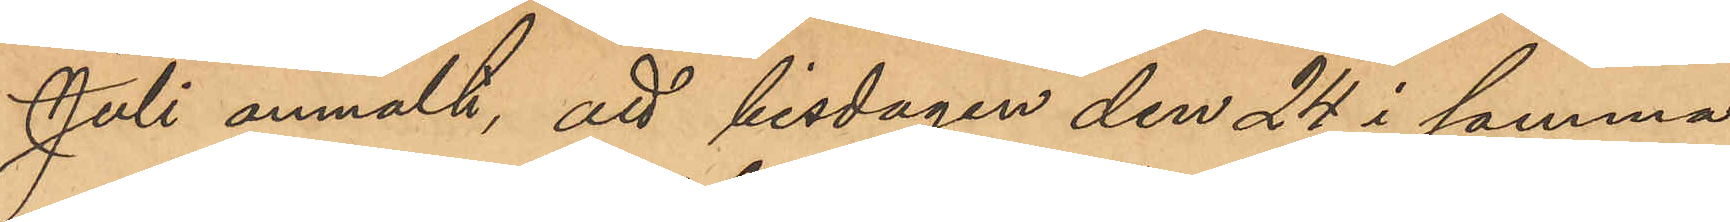Juli anmält, att tisdagen den 24 i samma
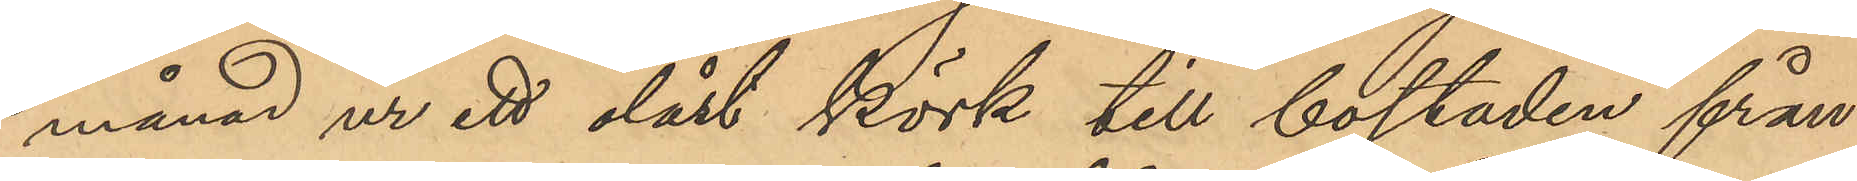månad ur ett olåst körk till bostaden från
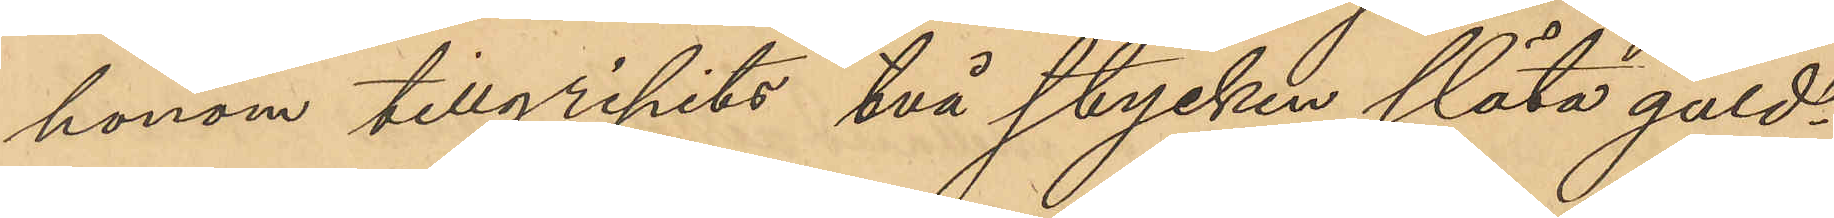honom tillgripits två stycken släta guld¬
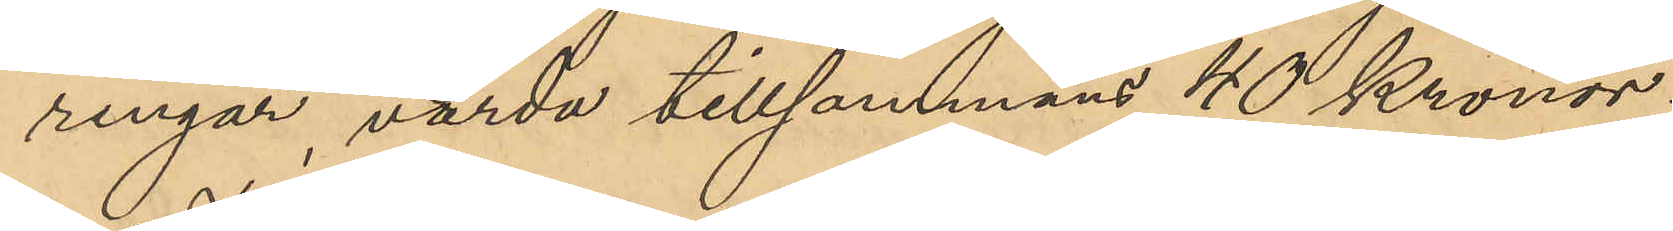ringar, värda tillsammans 40 Kronor.
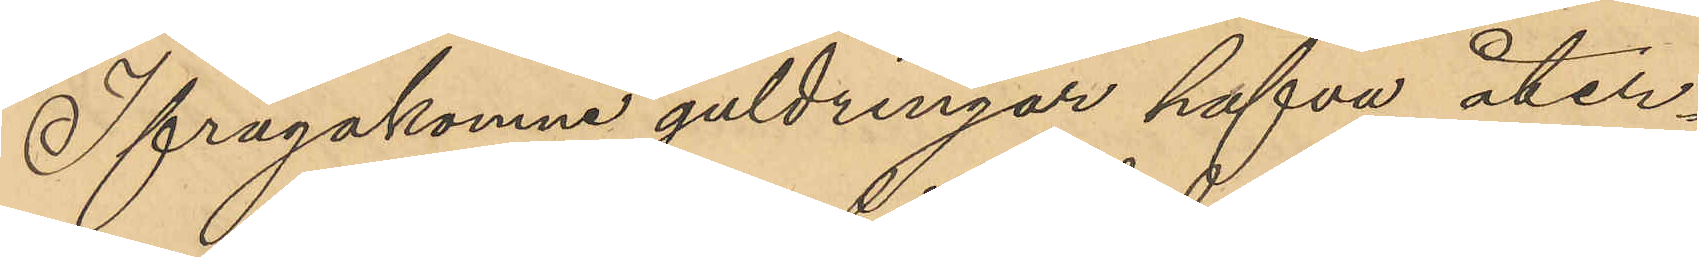Ifrågakomne guldringar hafva åter¬
